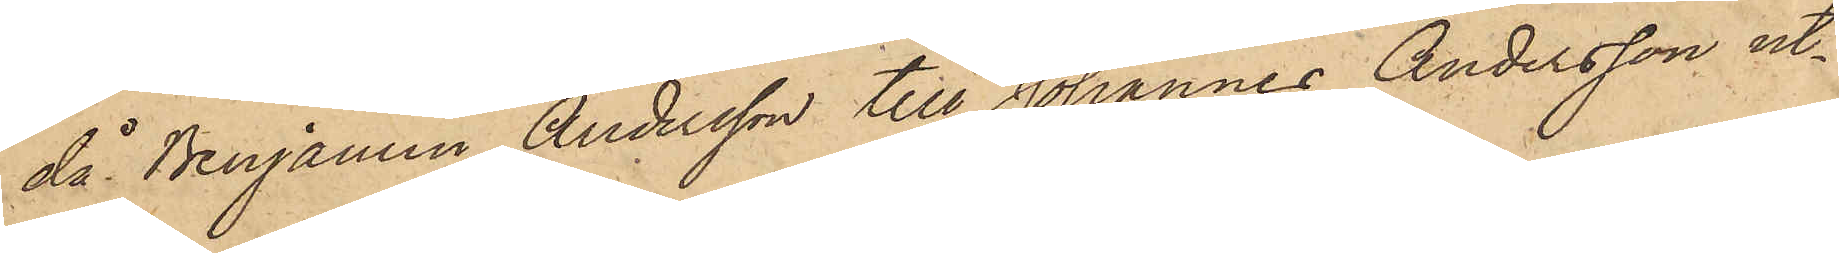då Benjamin Andersson till Johannes Andersson ut¬
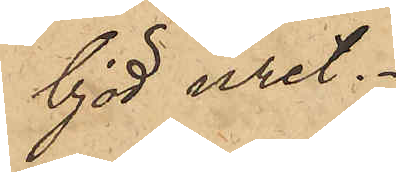bjöd uret.
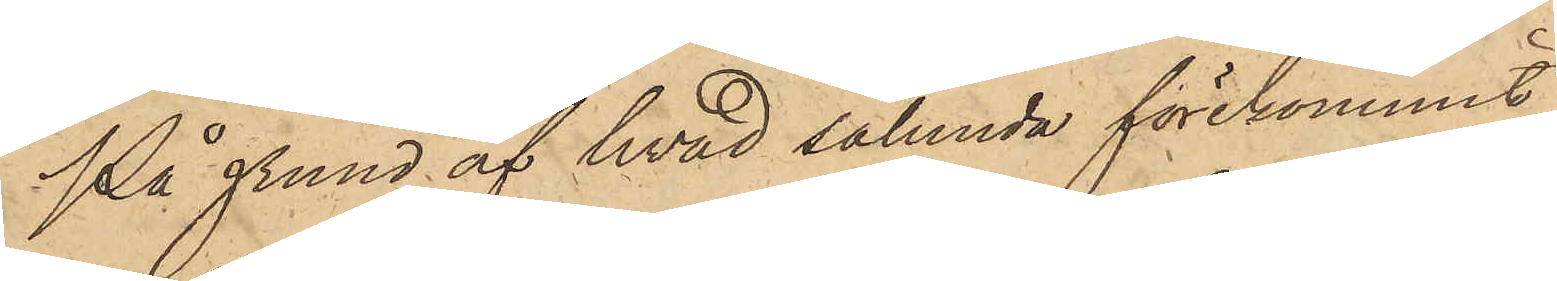På grund af hvad sålunda förekommit,
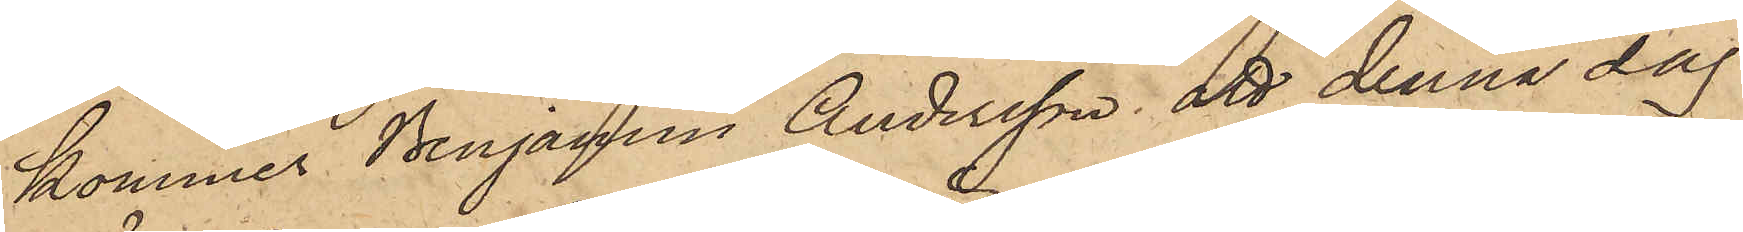kommer Benjamin Andersson att denna dag
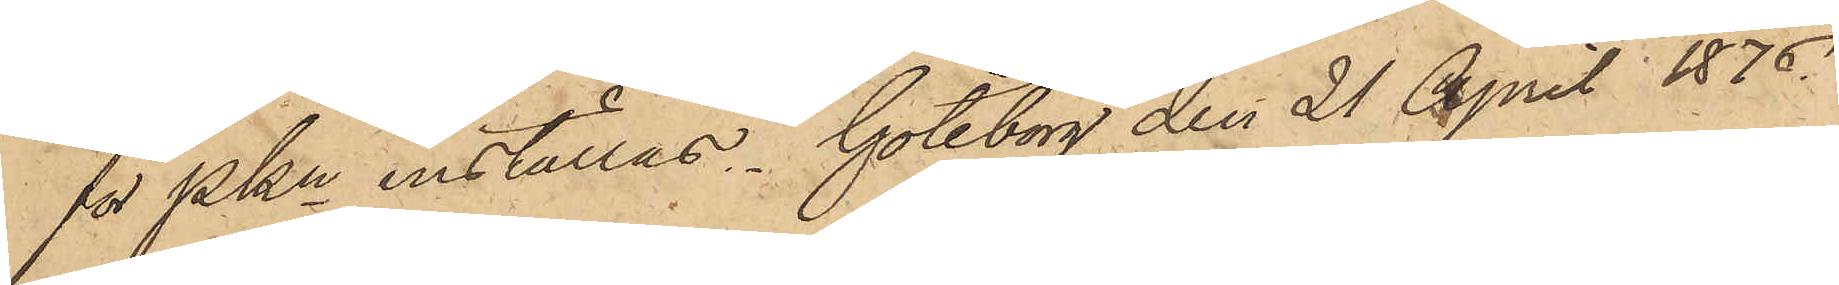för PKn inställas. Göteborg den 21 April 1876.
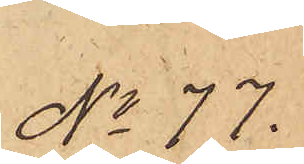No 77.
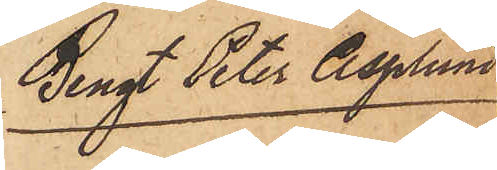Bengt Peter Asplund
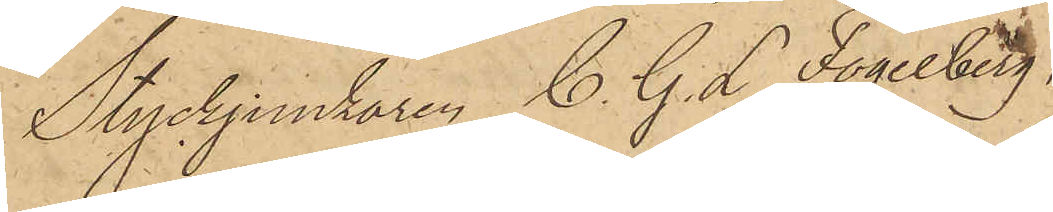Styckjunkaren C. G. L. Fogelberg,
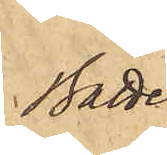Batte¬
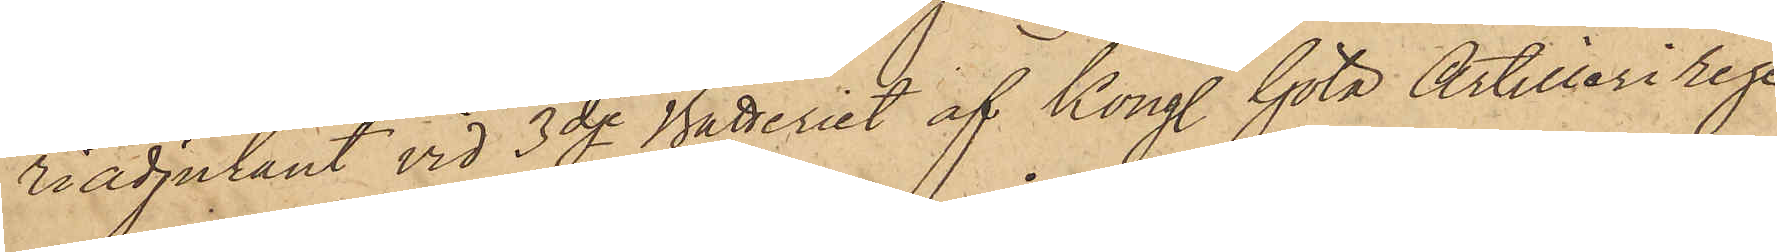riadjutant vid 3dje Batteriet af Kongl. Göta Artilleri Rege¬
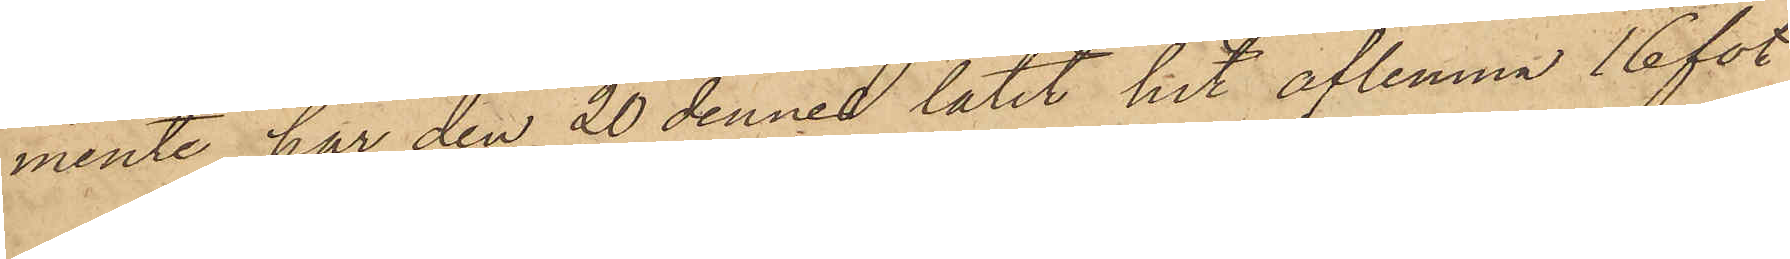mente, har den 20 dennes låtit hit aflemna 16 fot
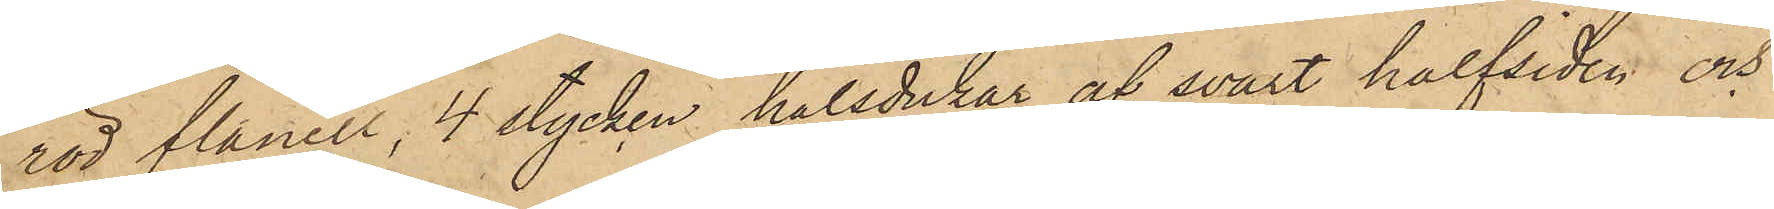röd flanell, 4 stycken halsdukar af svart halfsiden och
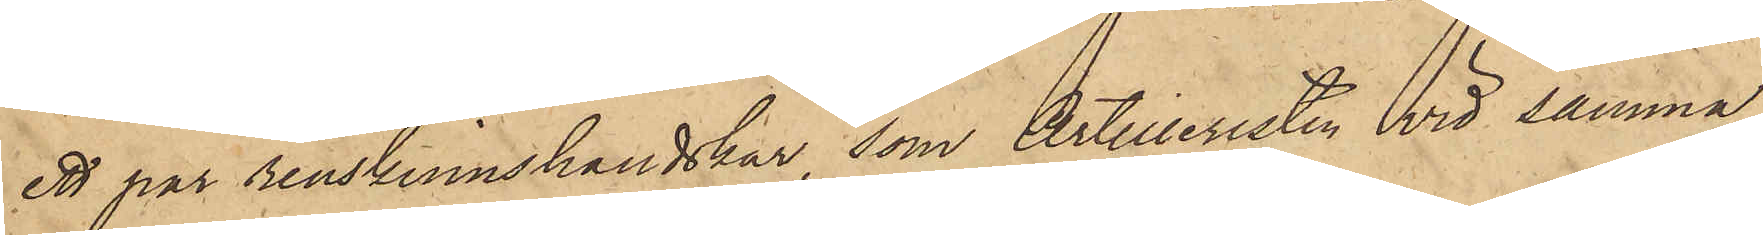ett par renskinnshandskar, som Artilleristen vid samma
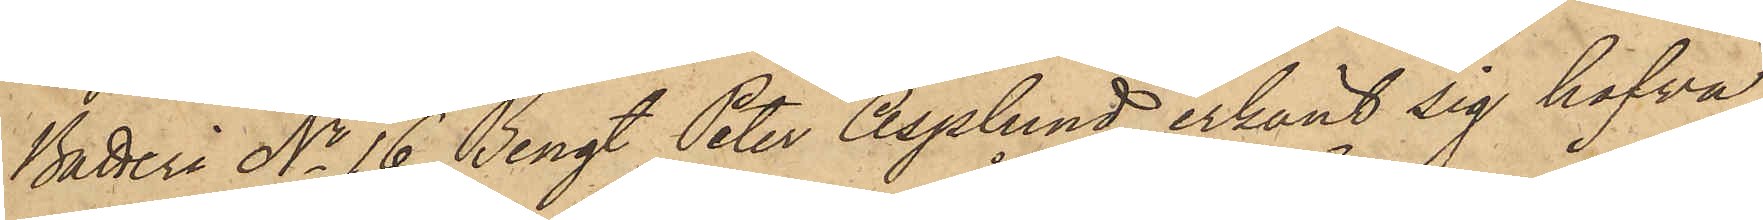Batteri No 16 Bengt Peter Asplund erkänt sig hafva
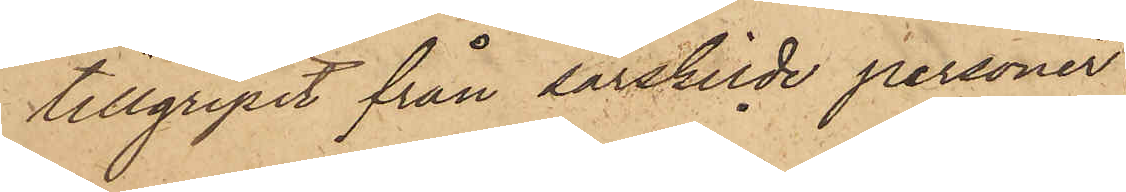tillgripit från särskilde personer
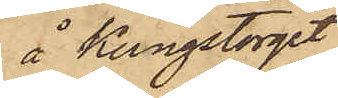å Kungstorget
